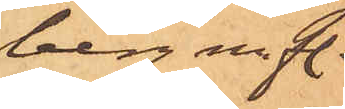berg m. fl.
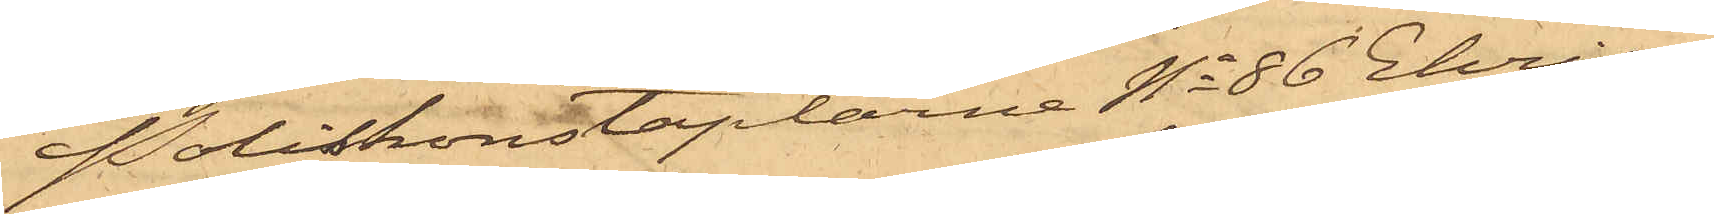Poliskonstaplarne No 86 Ehrian¬
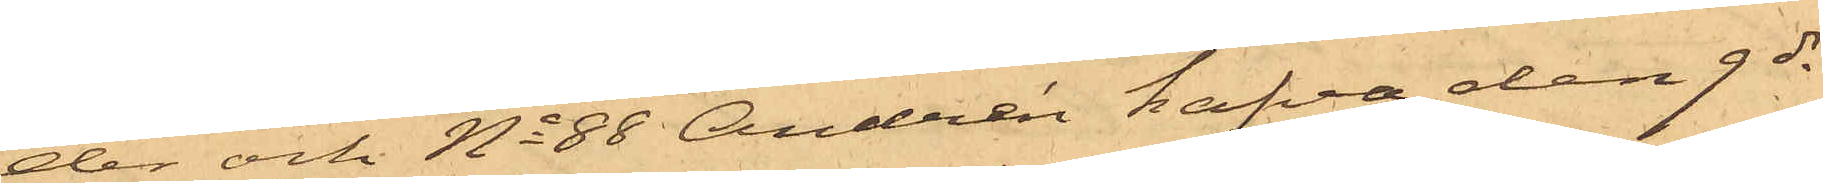der och No 88 Andrén hafva den 9 ds
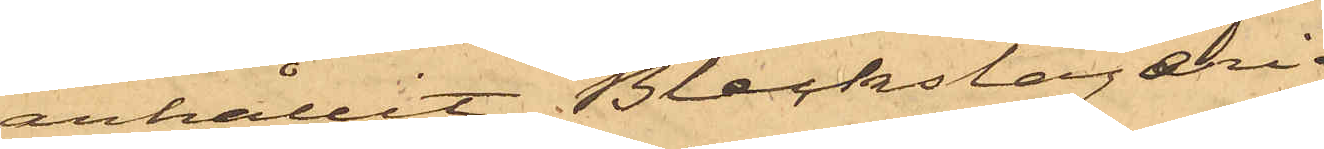anhållit Bleckslageri¬
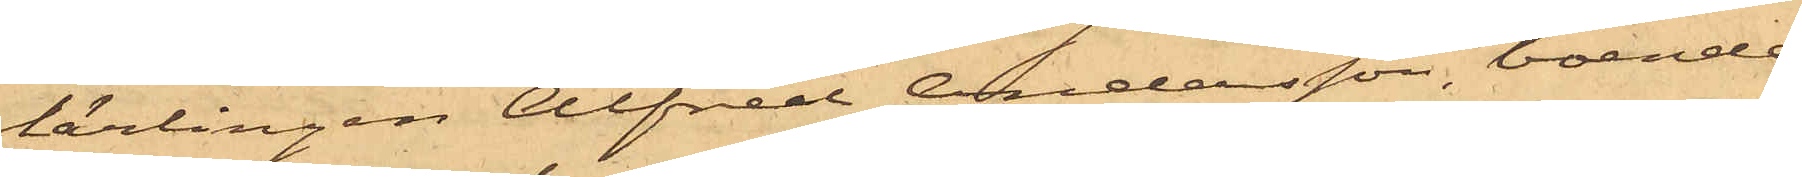lärlingen Alfred Andersson, boende
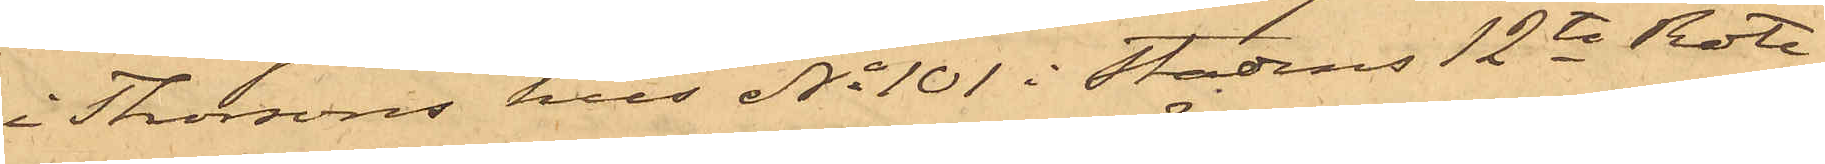i Thorsons hus No 101 i Stadens 12te Rote,
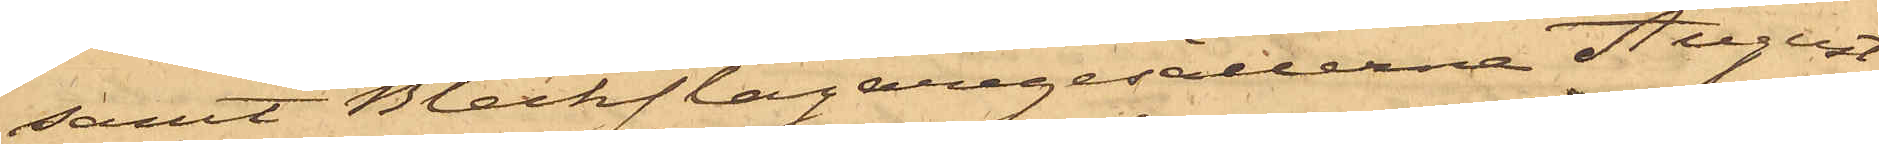samt Bleckslagaregesällerna August
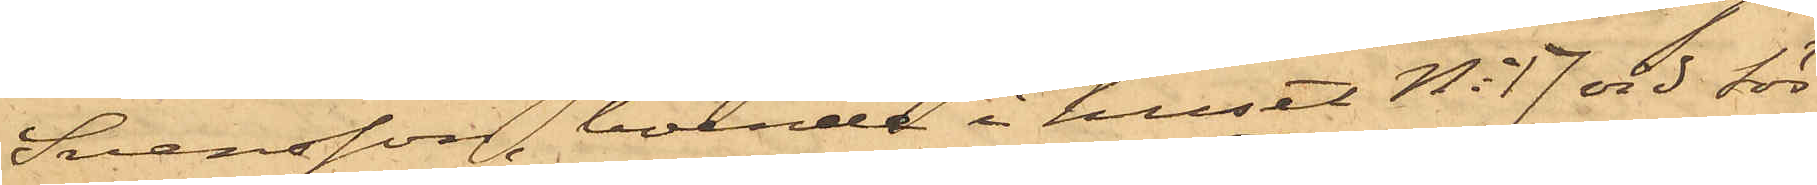Svensson, boende i huset No 17 vid Sör¬
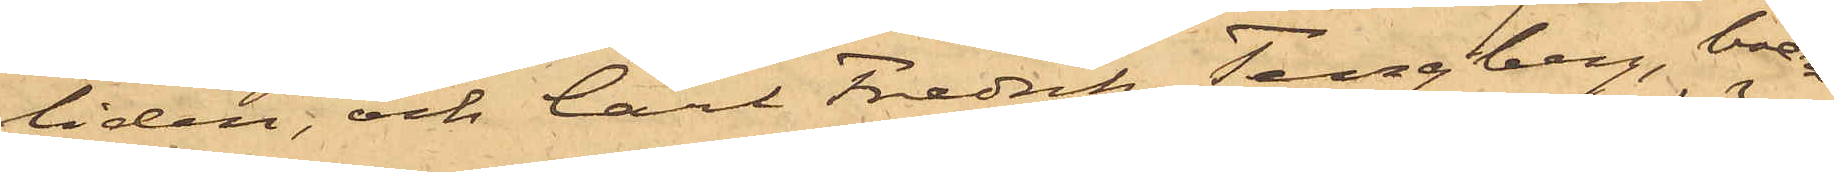liden; och Carl Fredrik Tengberg, boen¬
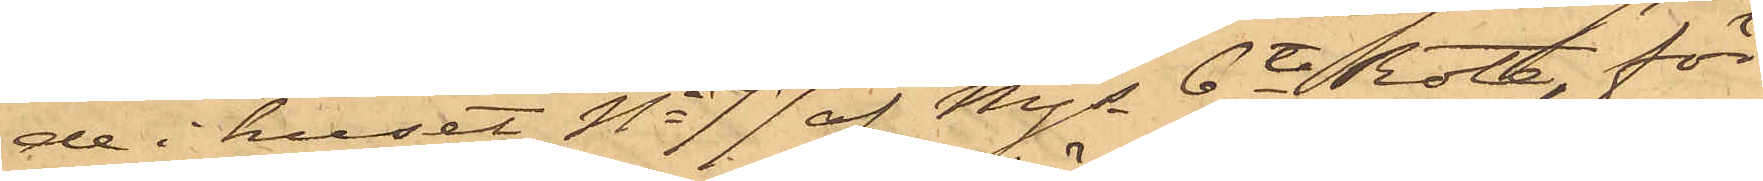de i huset No 77 af Mjs 6te Rote, för
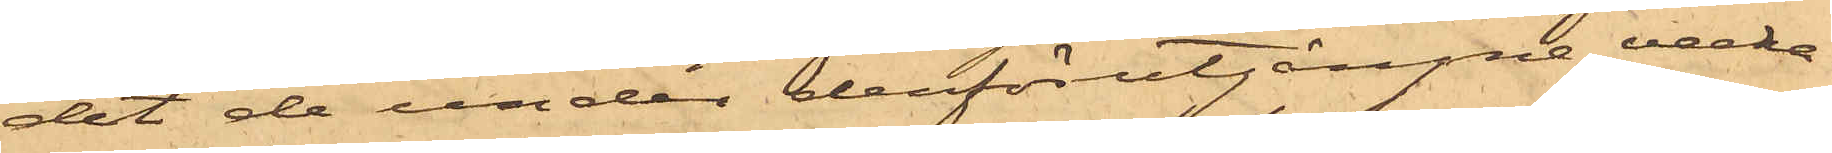det de under derförutgångne vecka
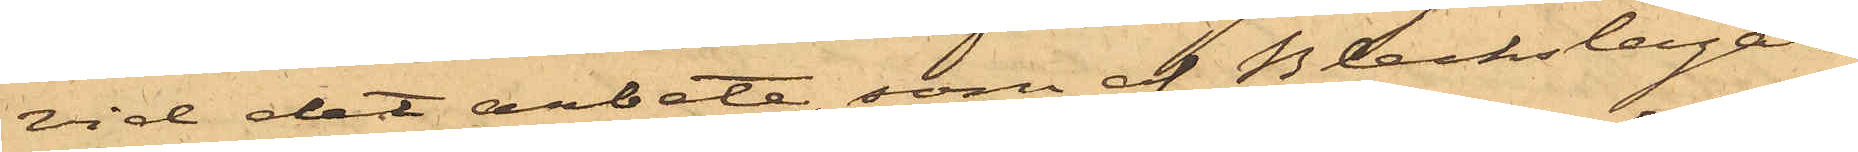vid det arbete, som af Bleckslagare¬
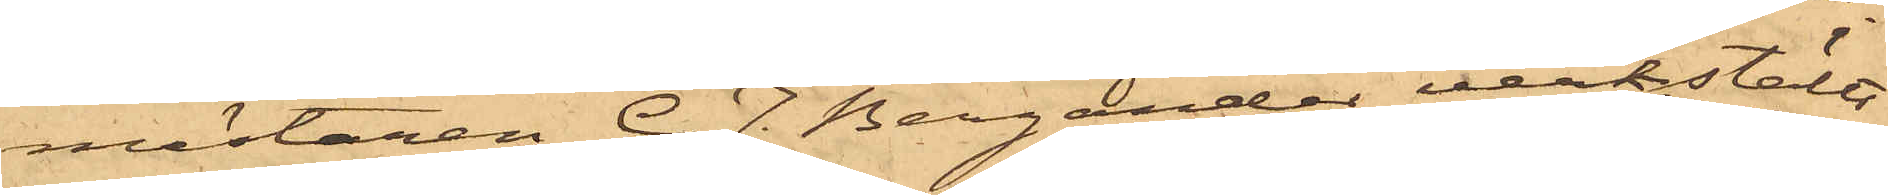mästaren C. J. Bergander verkställt
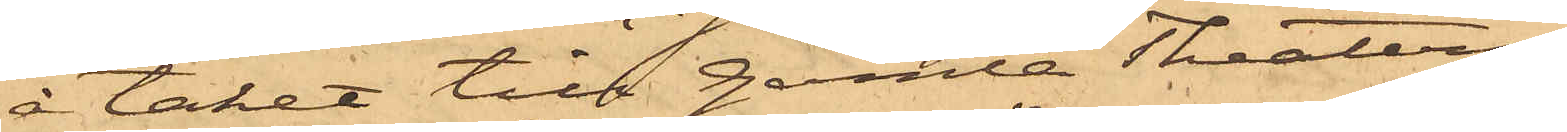å taket till Gamla Theatern,
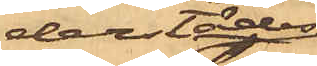derstädes
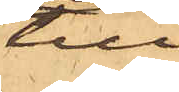till¬
